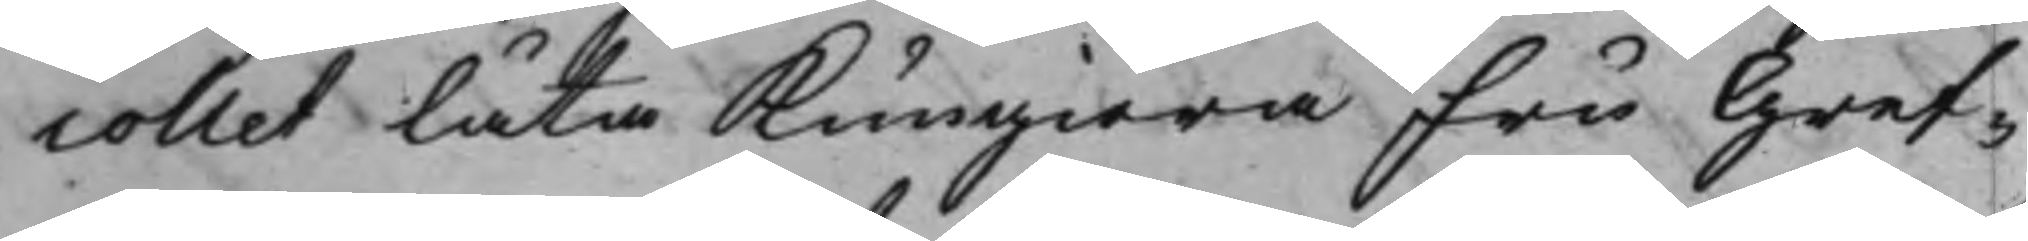collet låta Kungiöra Fru Gref¬
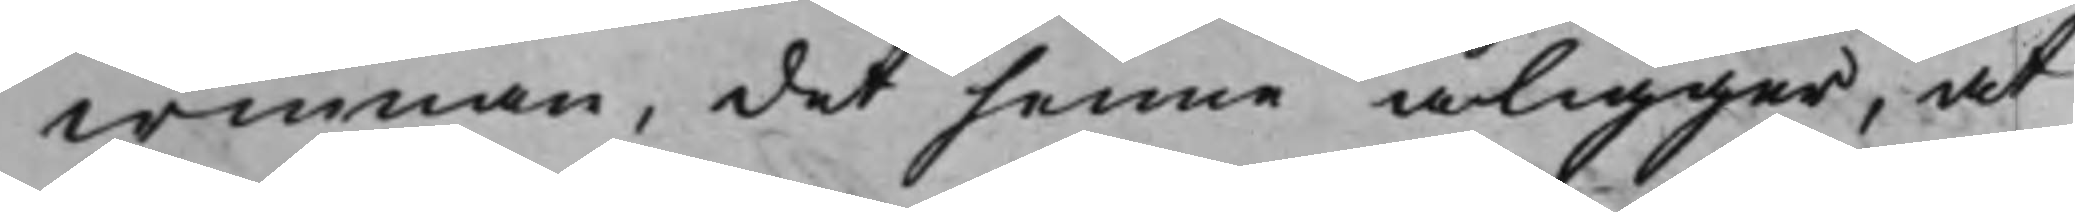winnan, det henne åligger, at
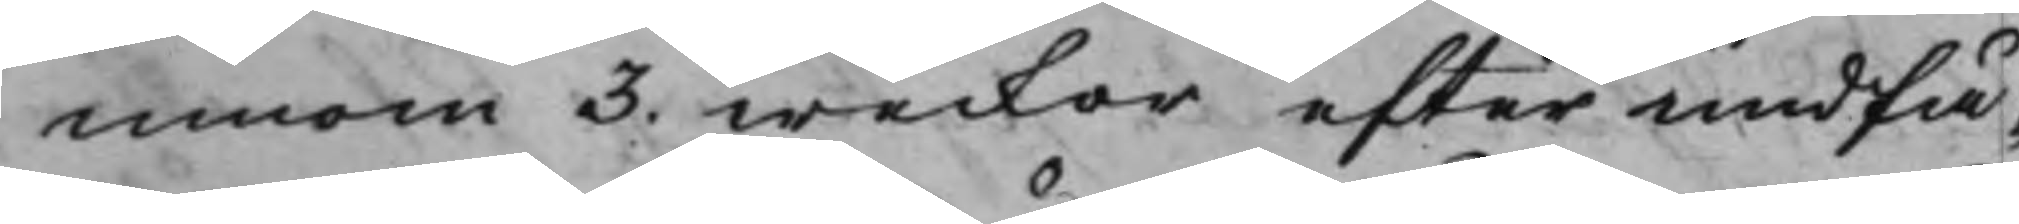innom 3. weckor efter undfå¬
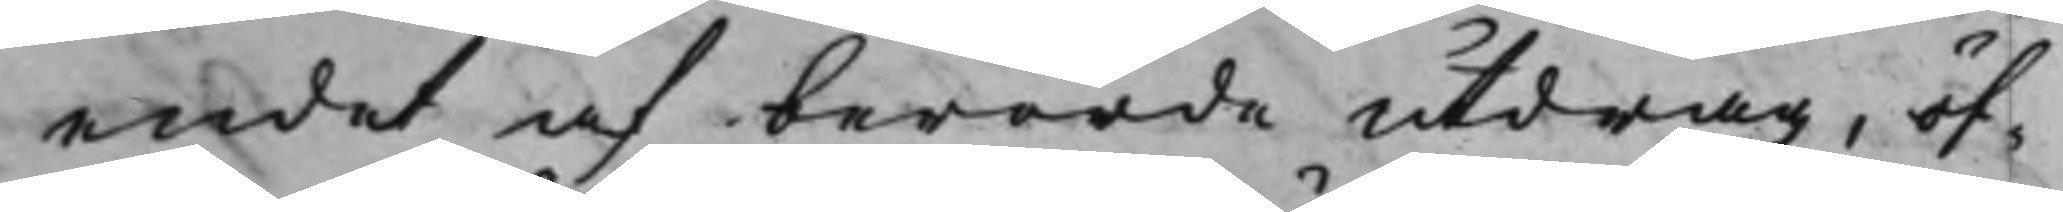endet af berörde utdrag, öf¬
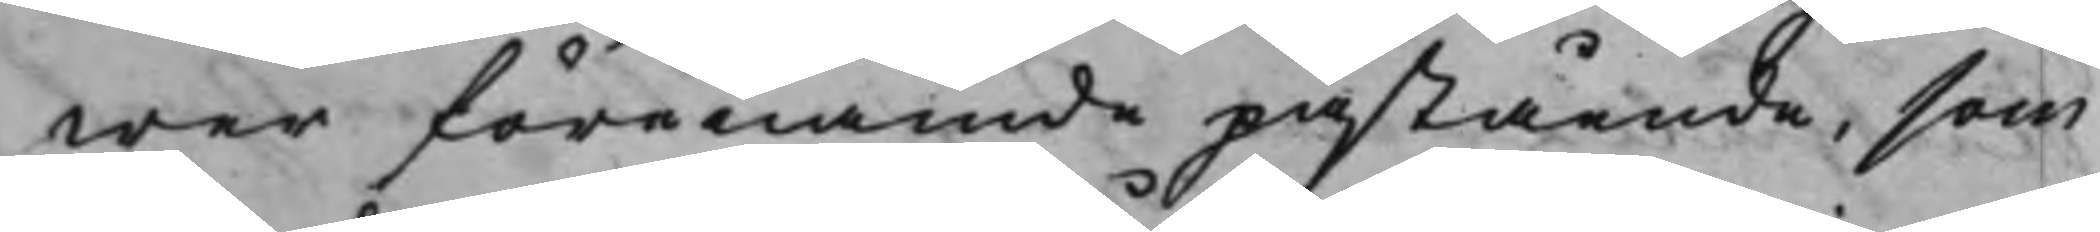wer förenämde påstående, som
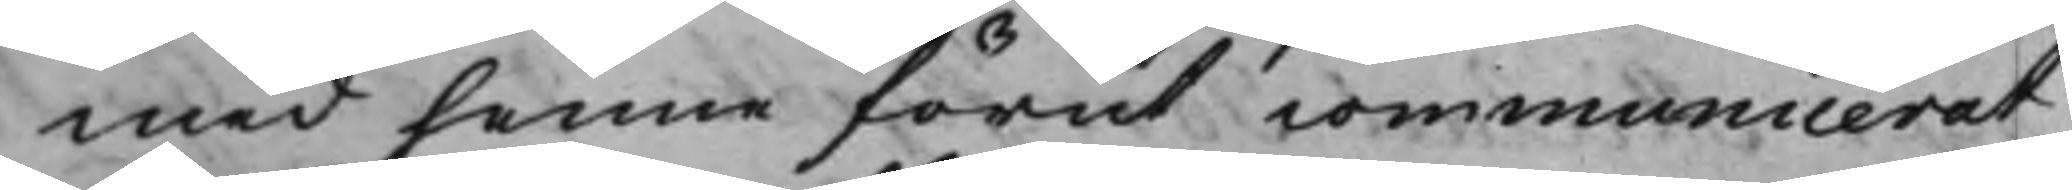med henne förut communicerat
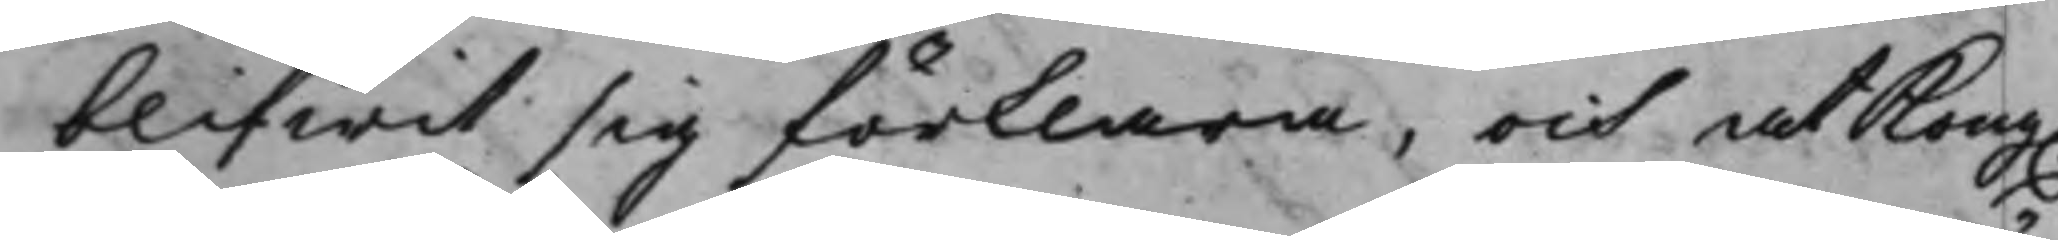blifwit sig förklara, och at Kong.
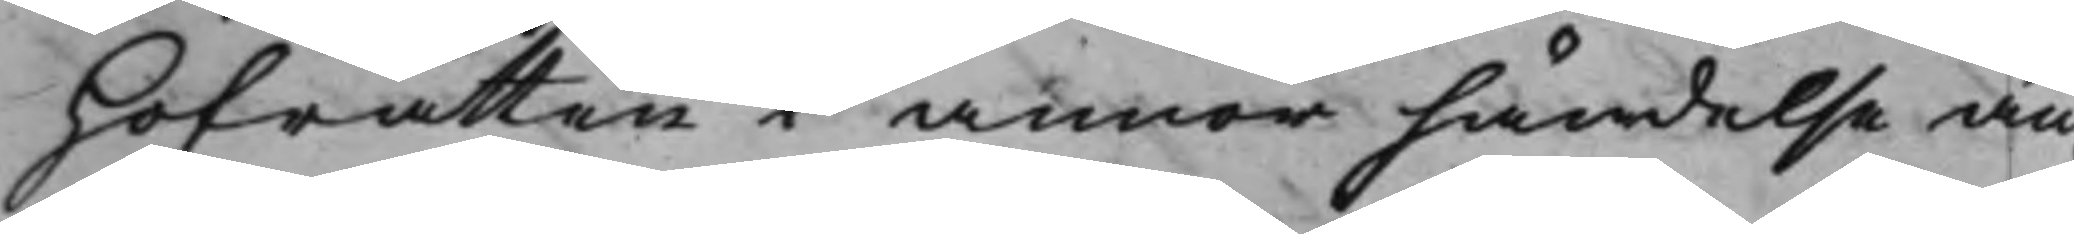Hofrätten i annor händelse än¬
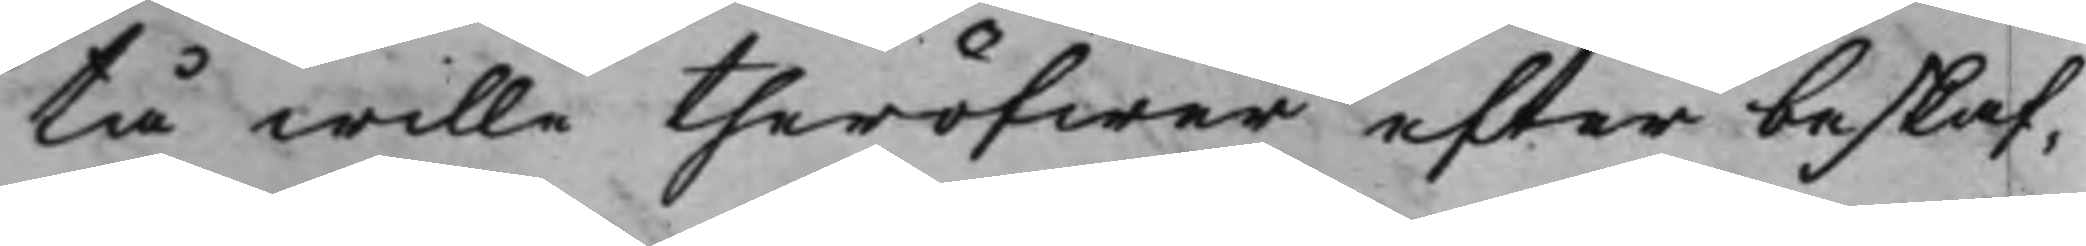tå wille theröfwer efter beskaf¬
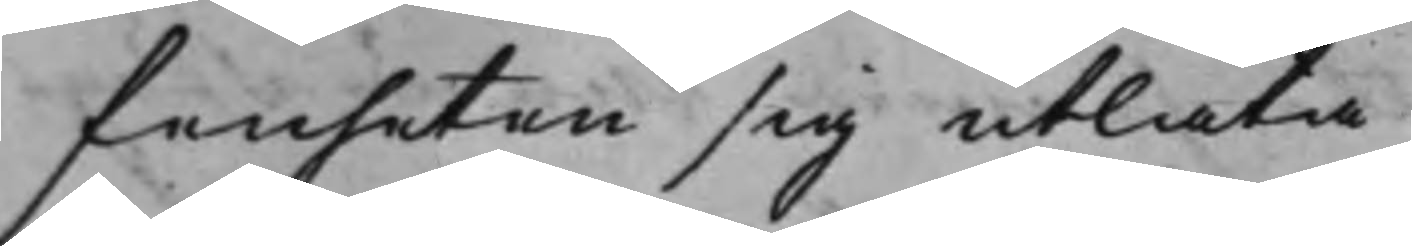fenheten sig utlåta.
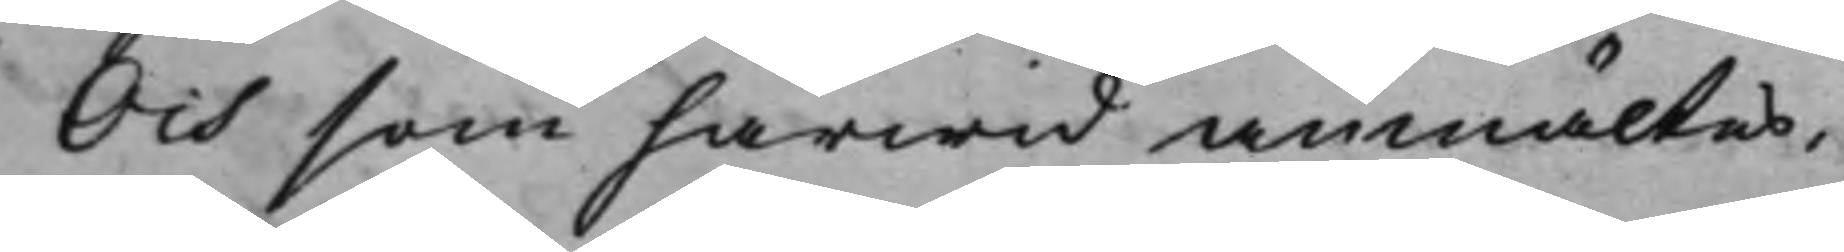Och som härwid anmältes,
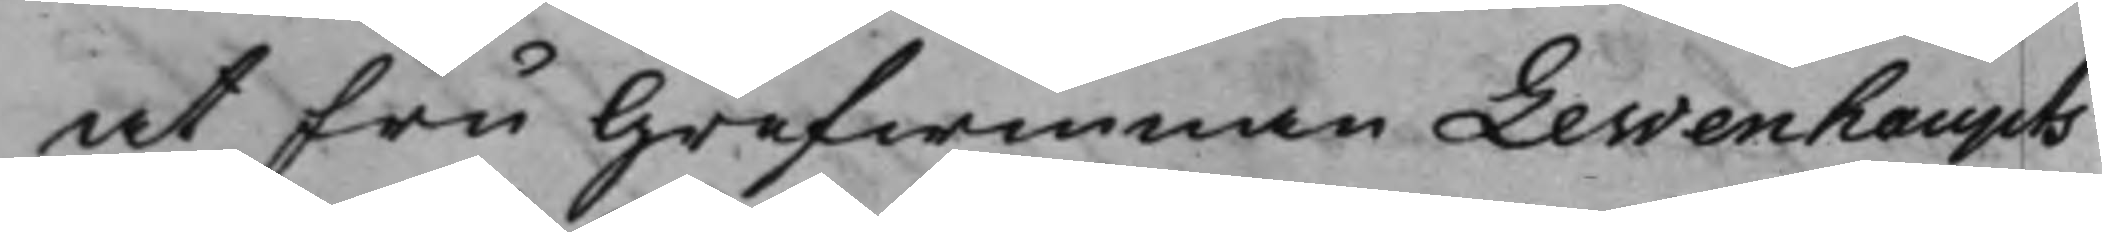at Fru Grefwinnan Lewenhaupts
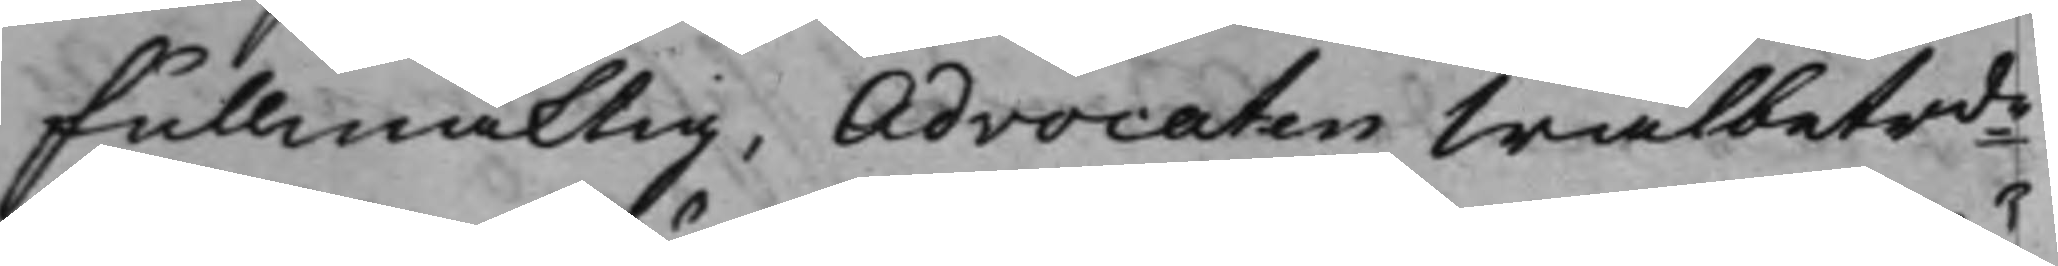Fullmäktig, Advocaten Wälbetrde
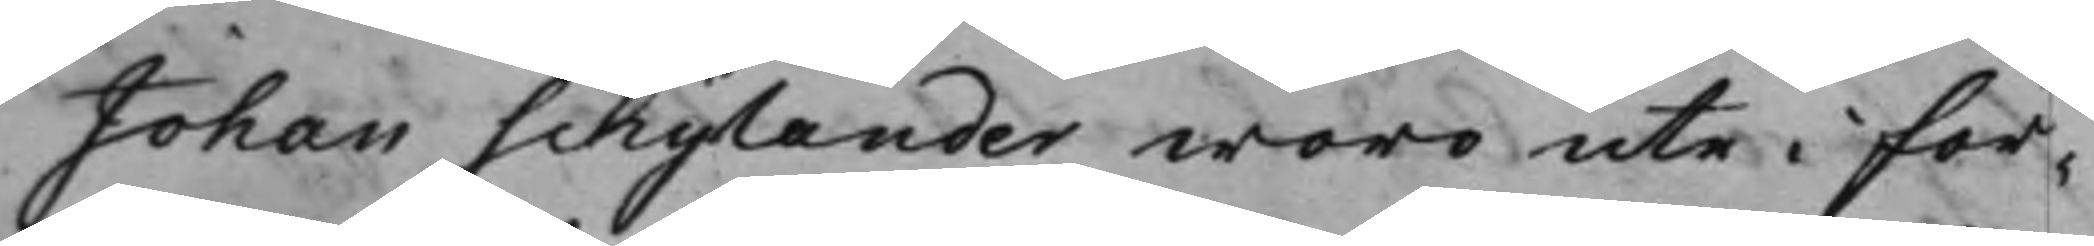Johan Schylander woro ute i För¬
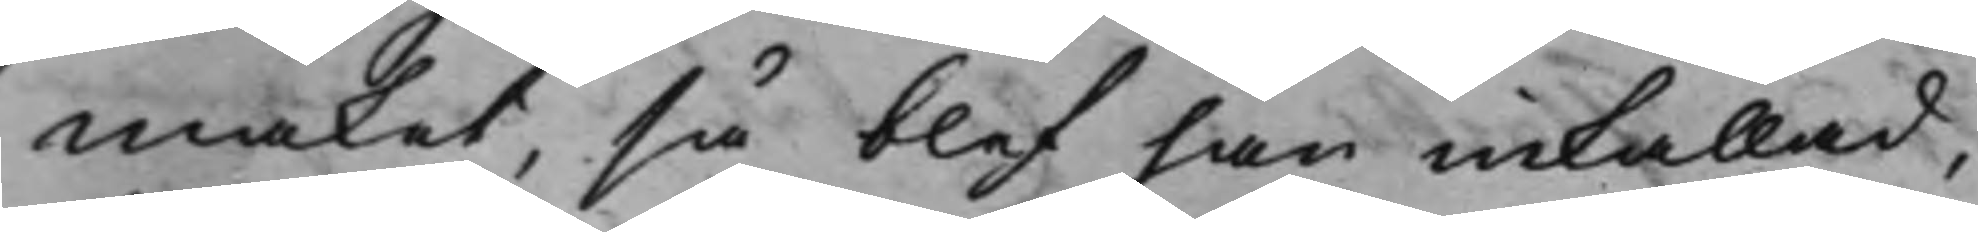maket, så blef han inkallad,
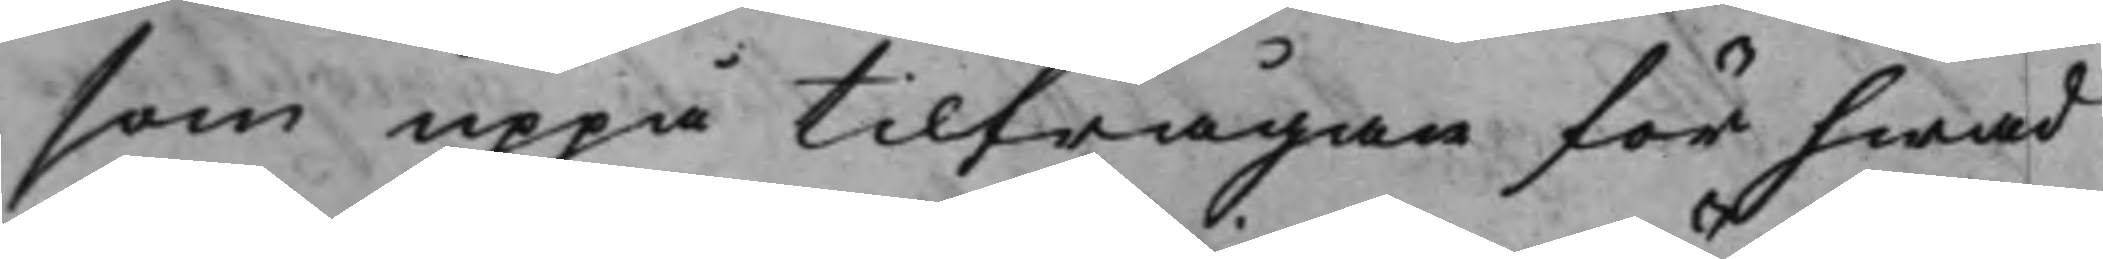som uppå tilfrågan för hwad
